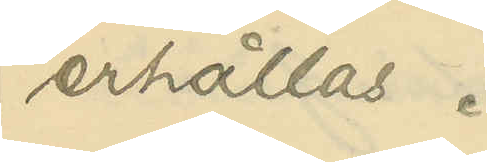erhållas.
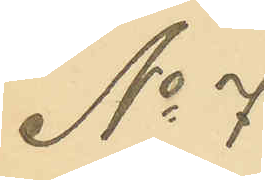No 7
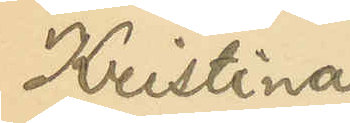Kristina
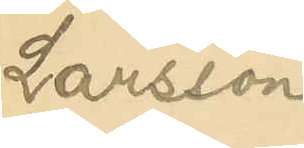Larsson
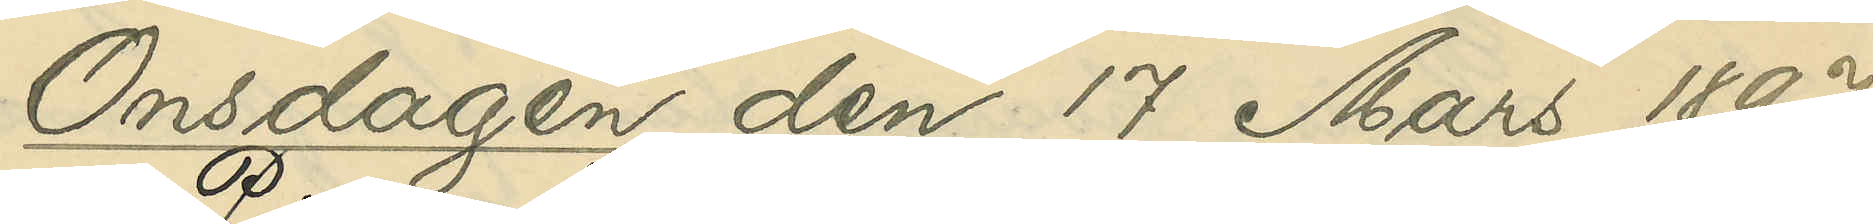Onsdagen den 17 Mars 1897.
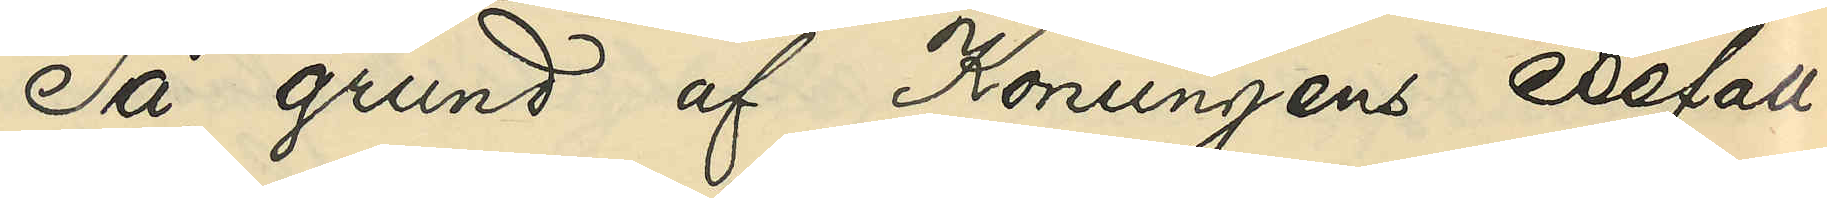På grund af Konungens Befall¬
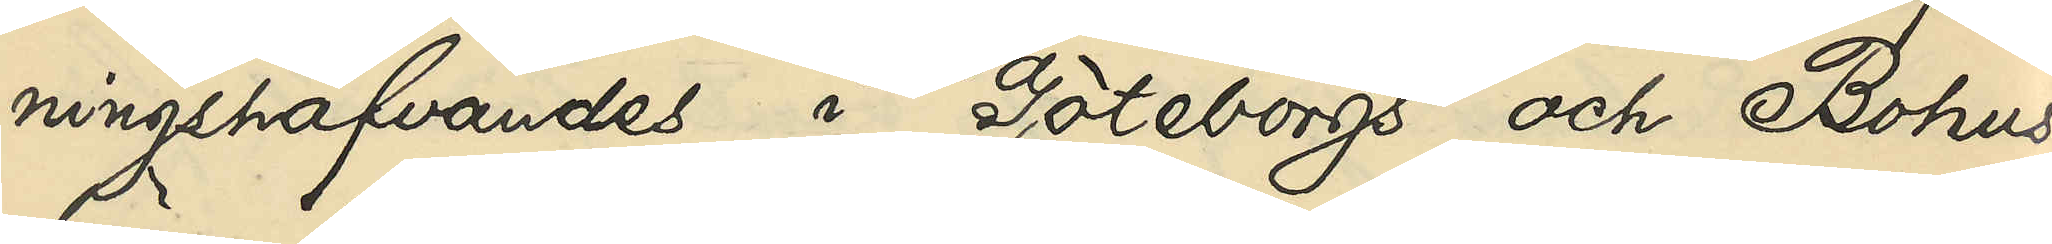ningshafvandes i Göteborgs och Bohus
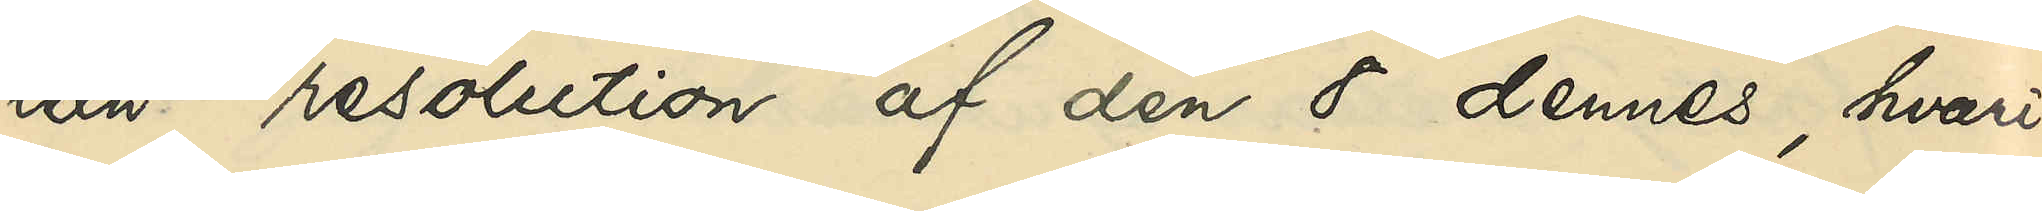län resolution af den 8 dennes, hvari¬
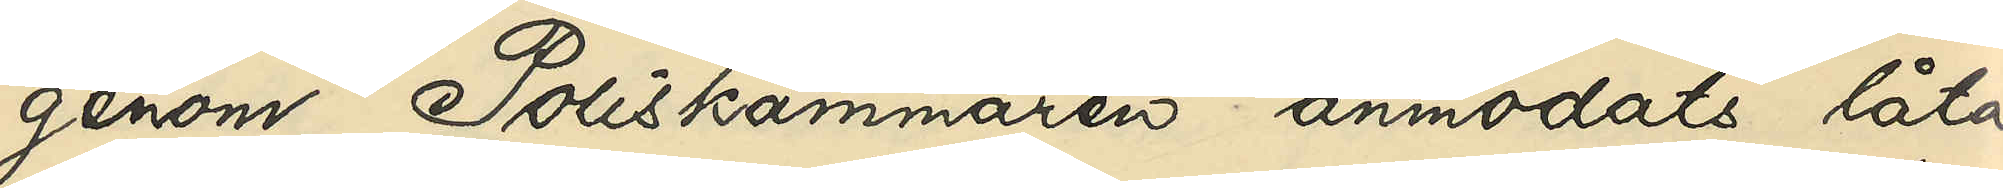genom Poliskammaren anmodats låta
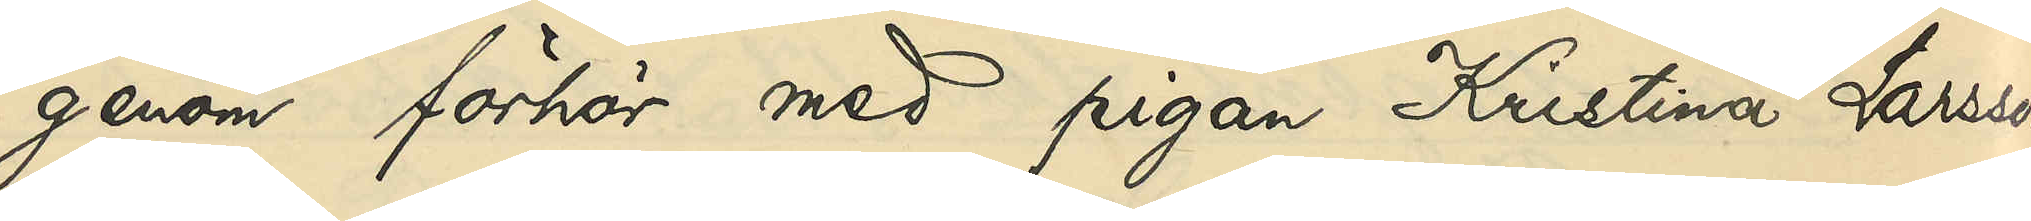genom förhör med pigan Kristina Larsson
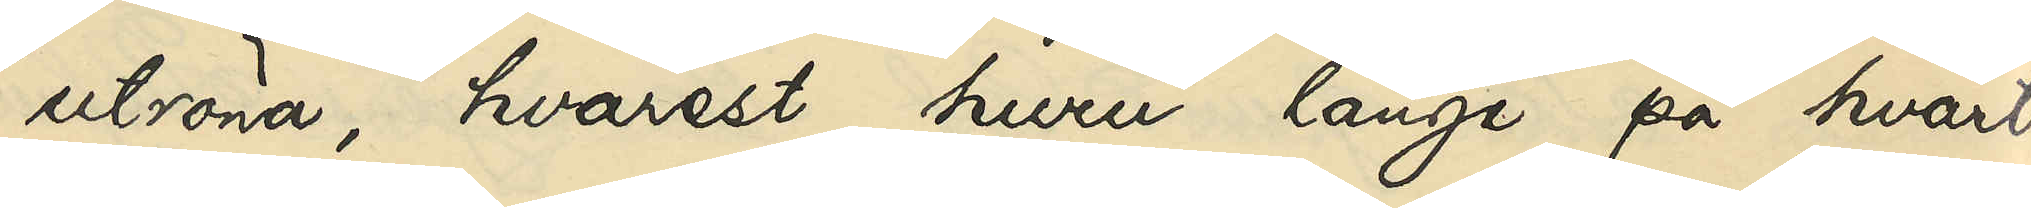utröna, hvarest, huru länge på hvart
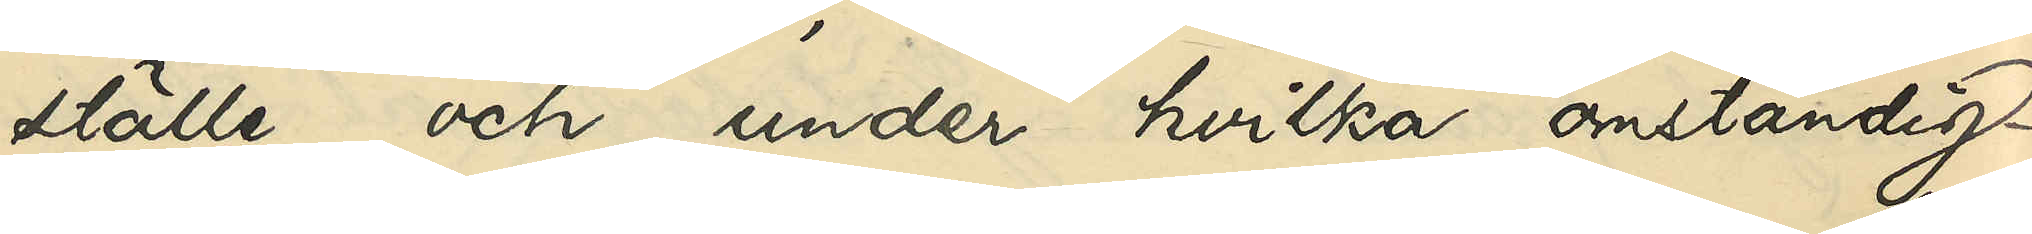ställe och under hvilka omständig¬
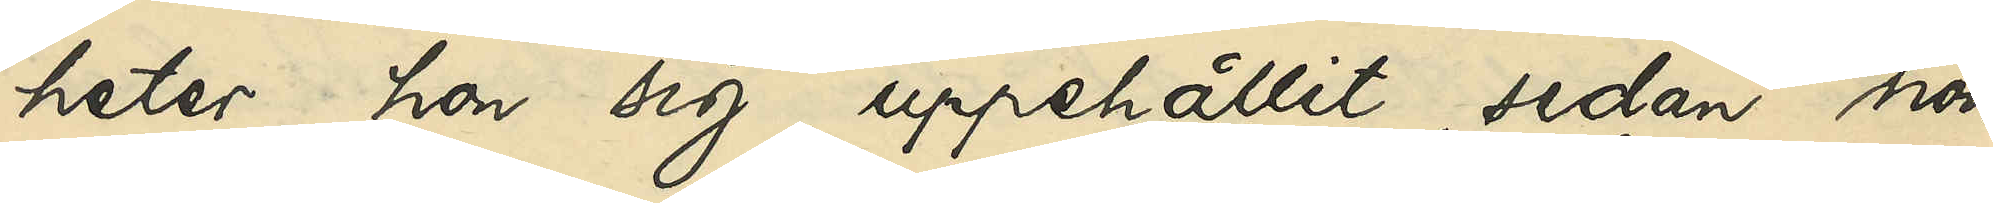heter hon sig uppehållit, sedan hon
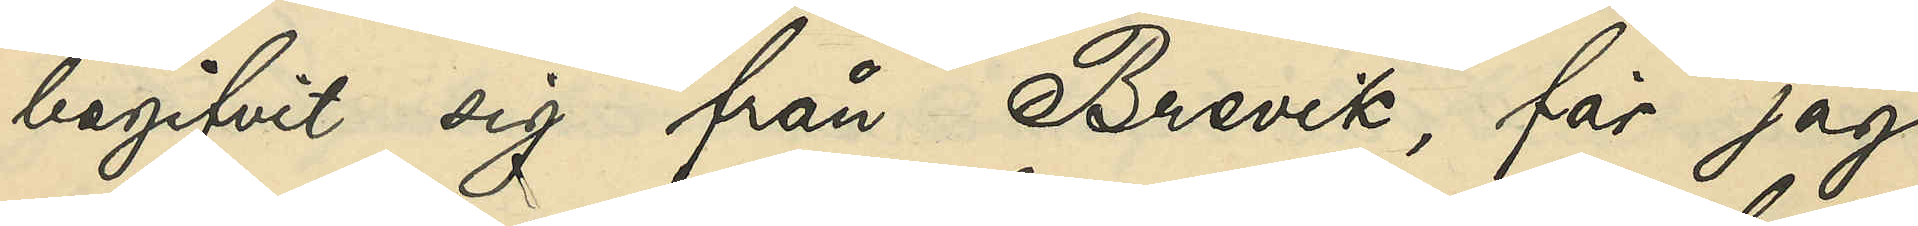begifvit sig från Brevik, får jag
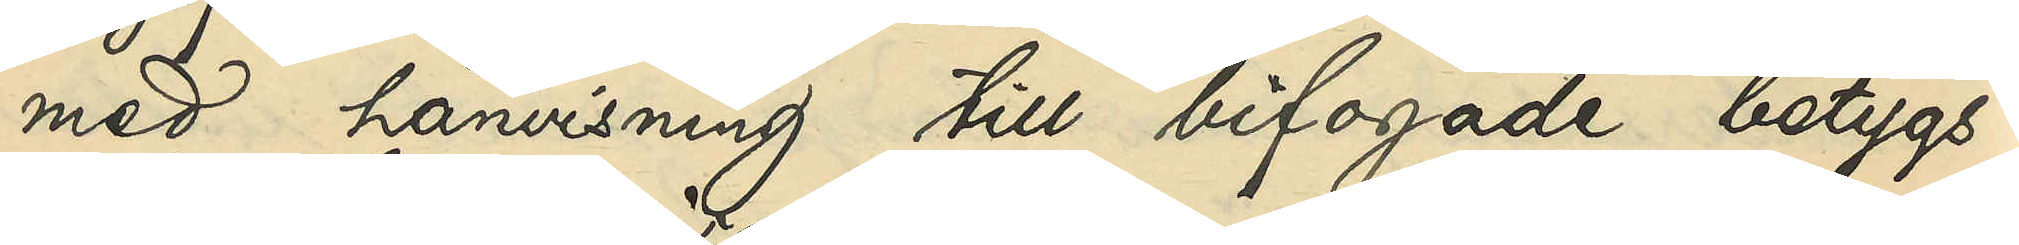med hänvisning från bifogade betygs¬
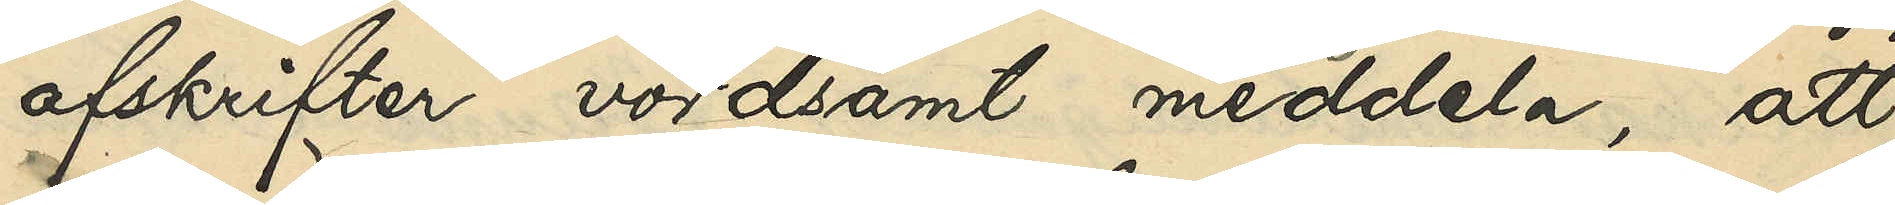afskrifter vördsamt meddela, att
